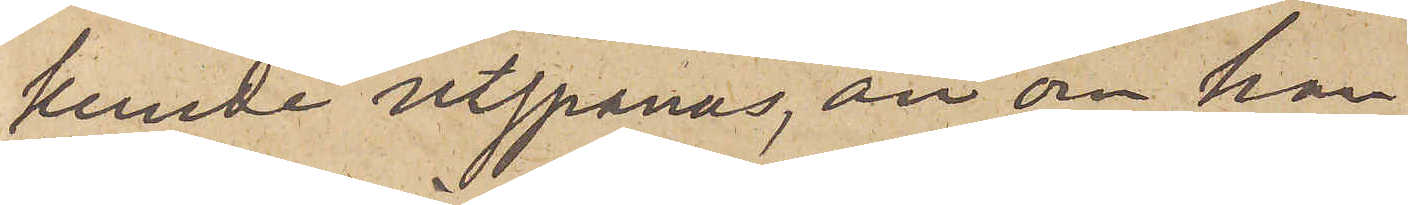kunde utspanas, än om han
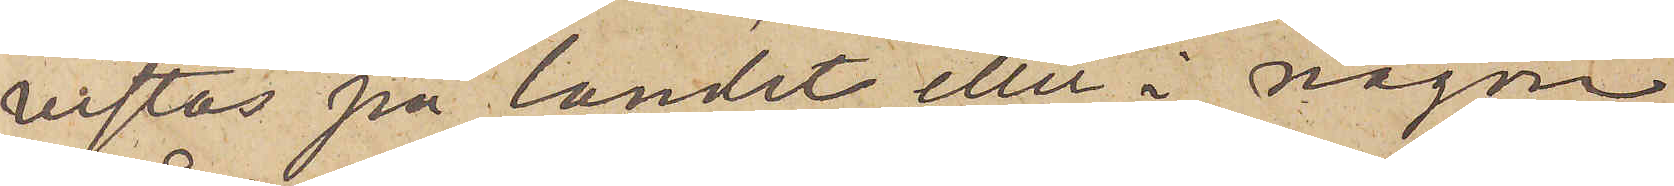vistas på landet eller i någon
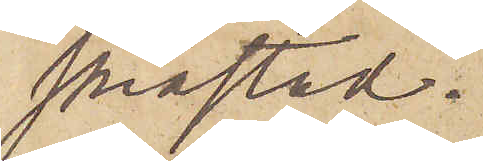småstad.
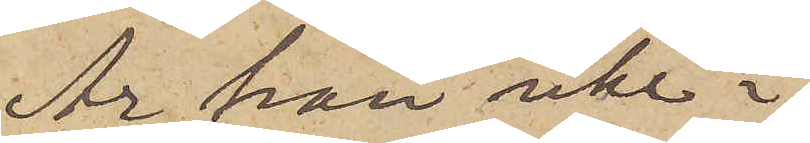Är han icke i
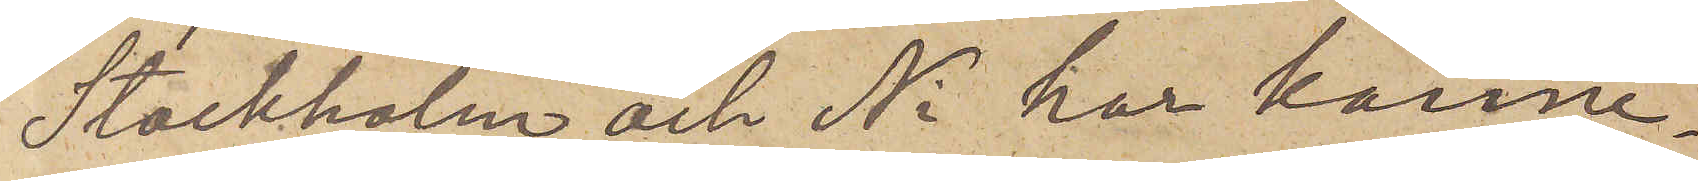Stockholm och Ni har känne¬
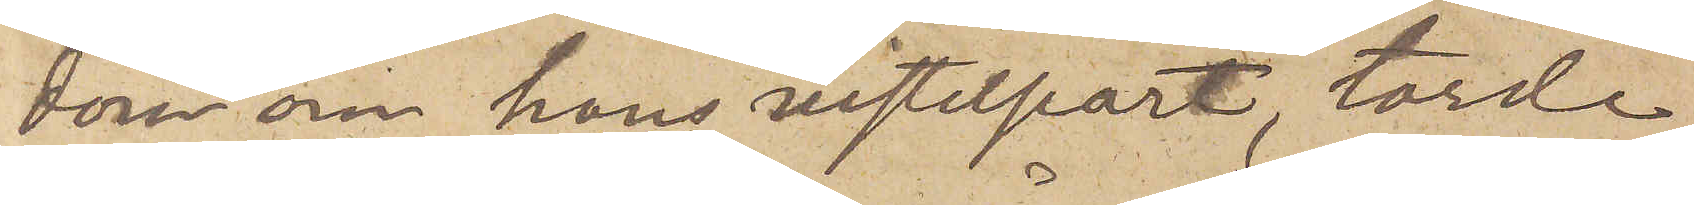dom om hans vistelseort, torde
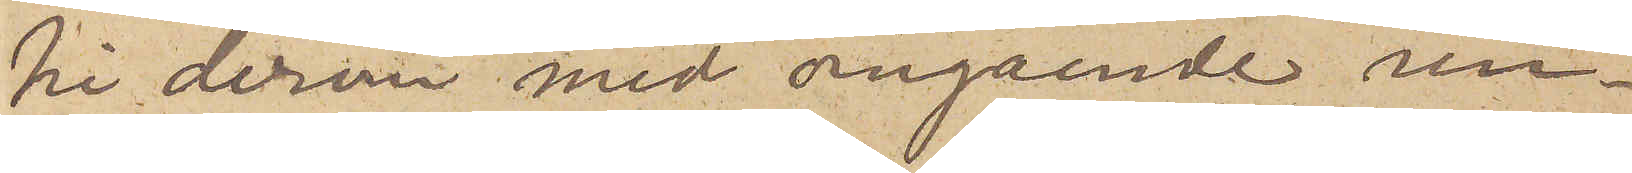Ni derom med omgående un¬
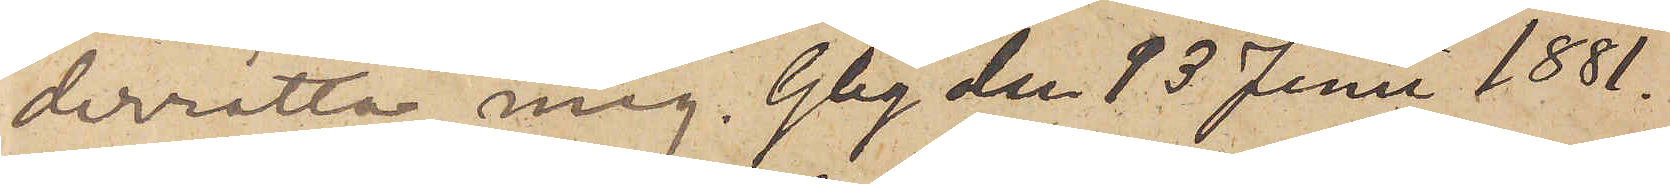derrätta mig. Gbg den 13 Juni 1881.
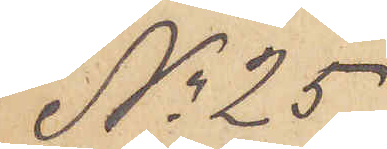No 25
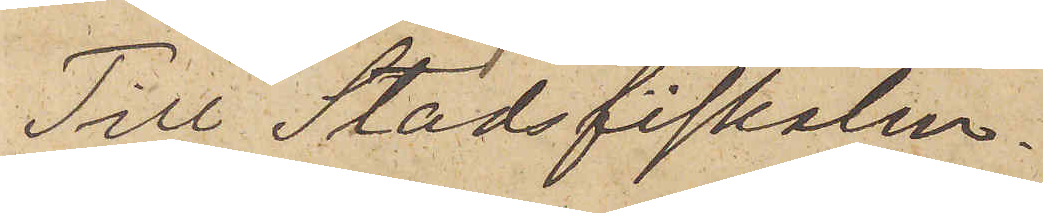Till Stadsfiskalen.
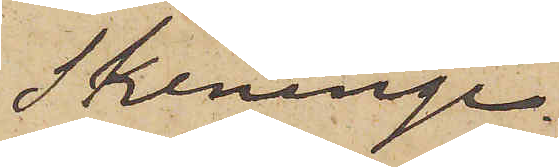Skeninge.
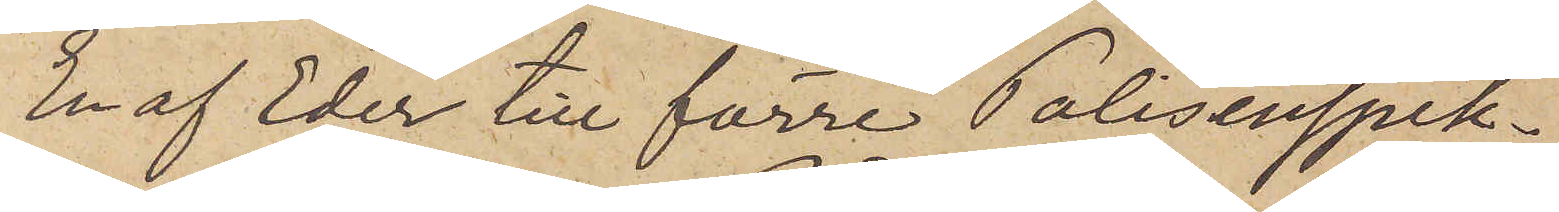En af Eder till förre Polisinspek¬
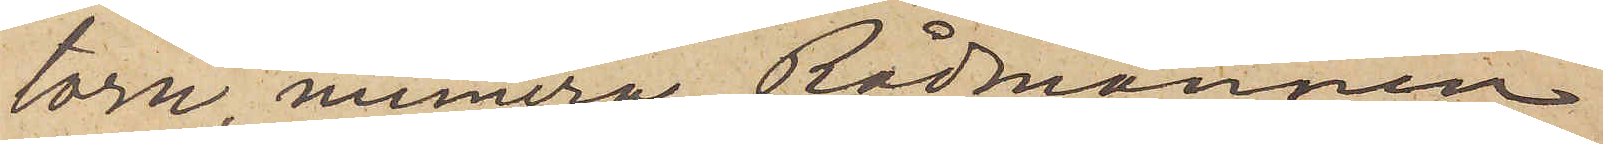torn, numera Rådmannen
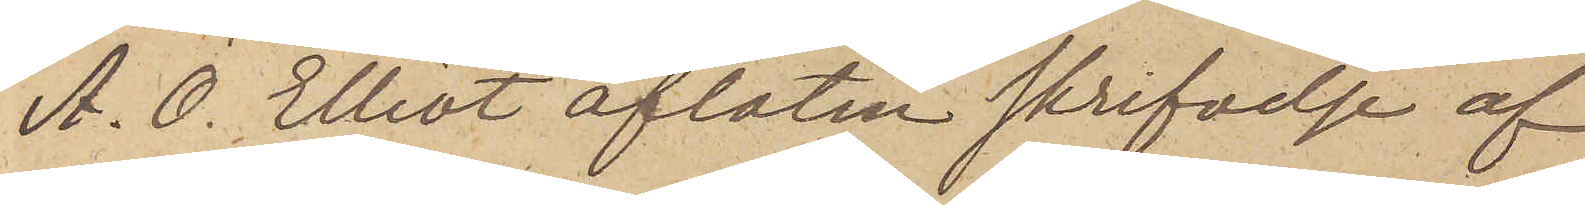A. O. Elliot aflåten skrifvelse af
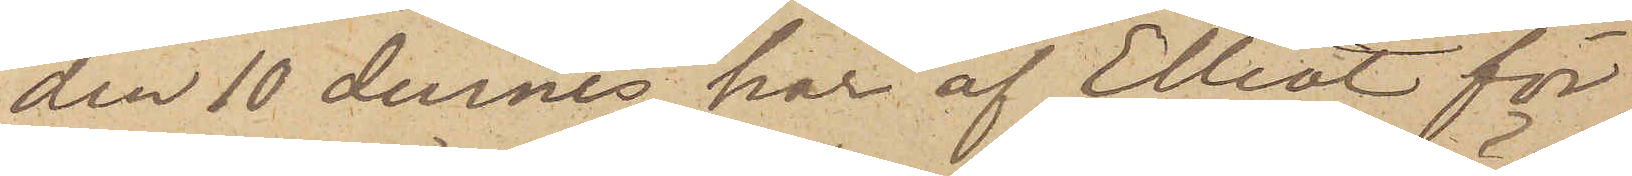den 10 dennes har af Elliot för
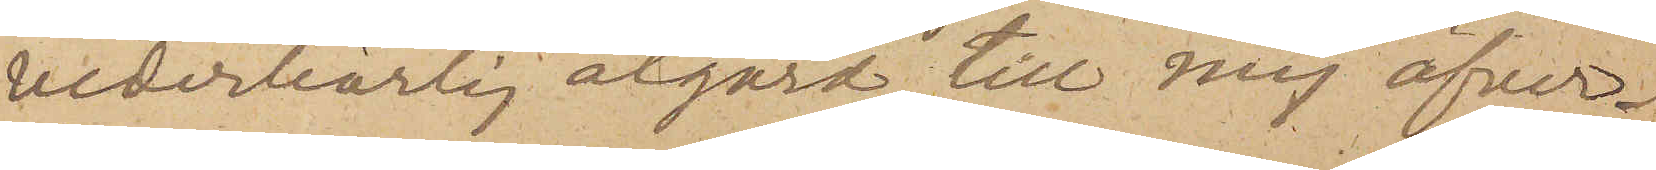vederbörlig åtgärd till mig öfver¬
